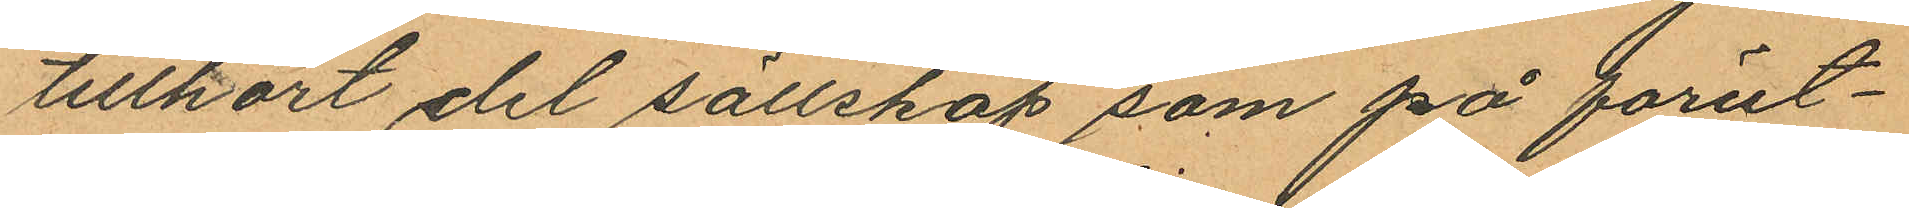tillkort del sällskap som på förut¬
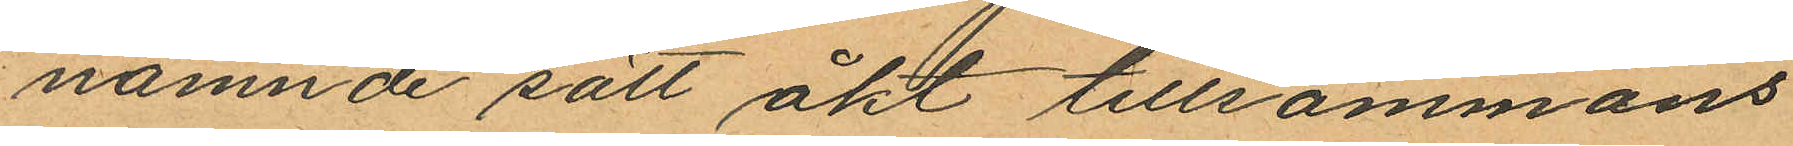nämnde sätt åkt tillsammans
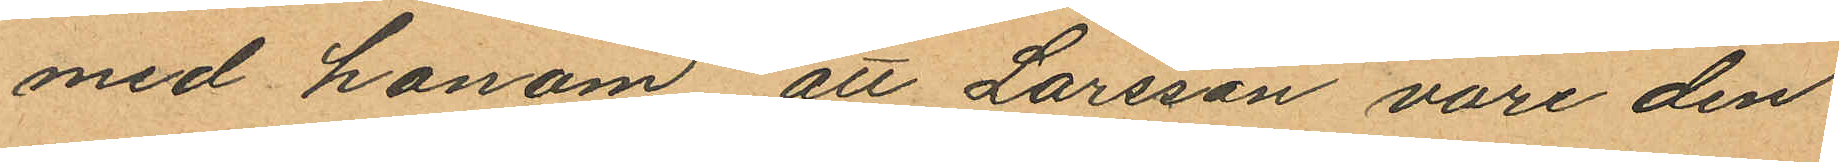med honom att Larsson vore den
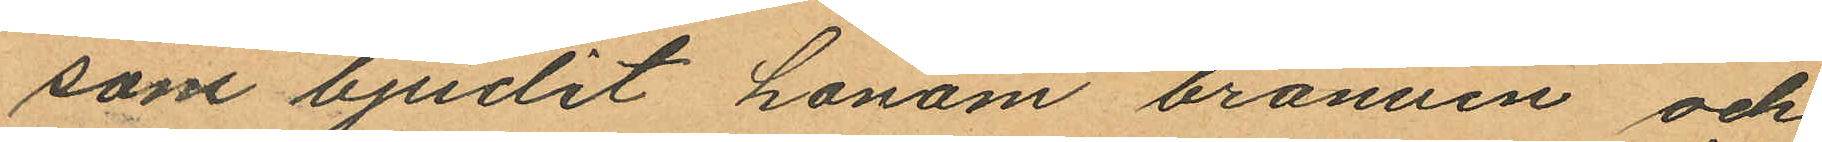som bjudit honom bränvin och
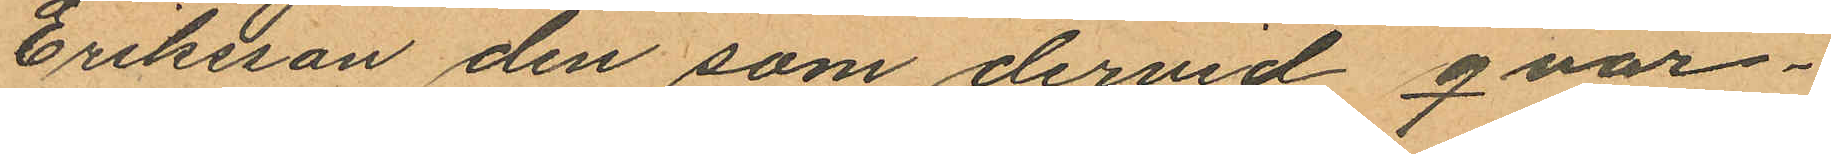Eriksson den som dervid qvar¬
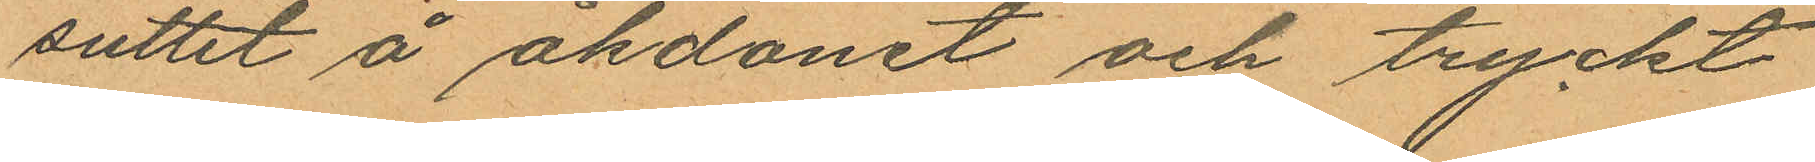suttit å åkdonet och tryckt
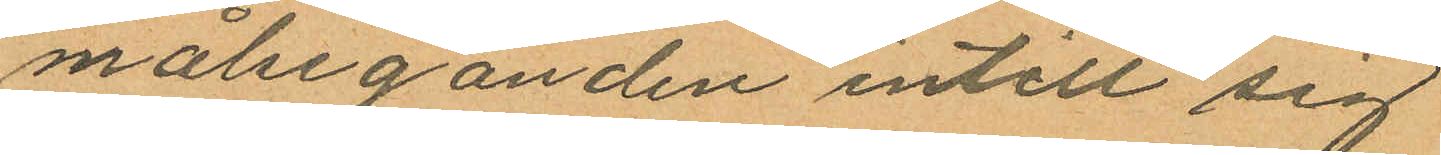målseganden intill sig
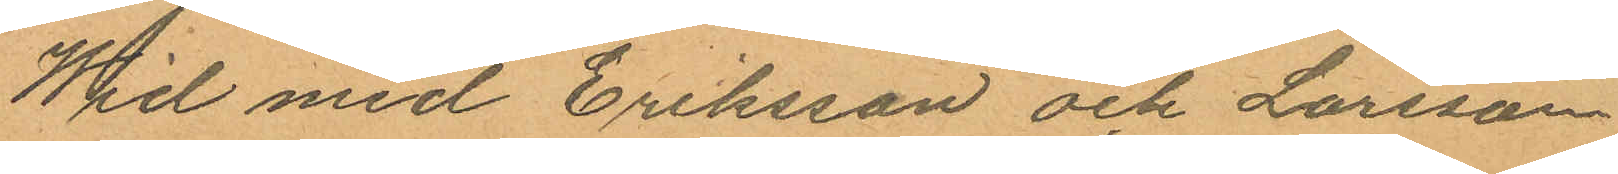Wid med Eriksson och Larsson
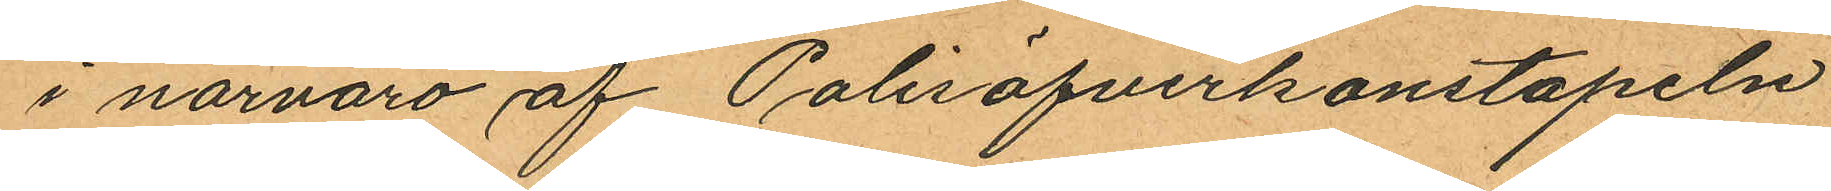i närvaro af Polisöfverkonstapeln
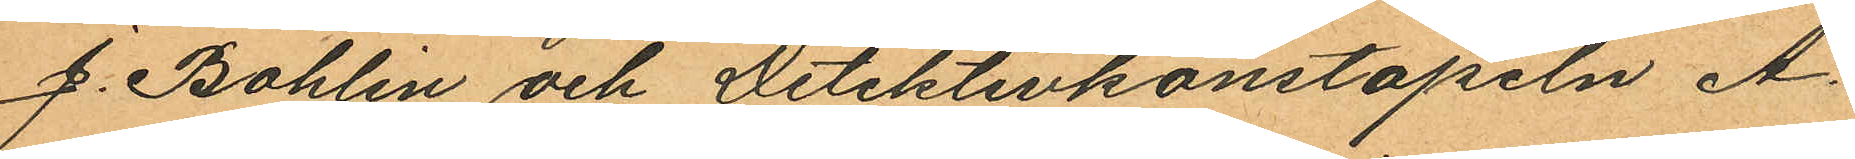J. Bohlin och Detektivkonstapeln A.
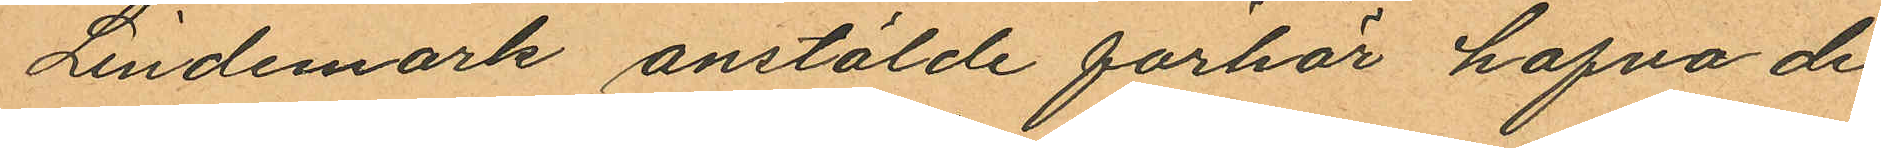Lindemark anstälde förhör hafva de
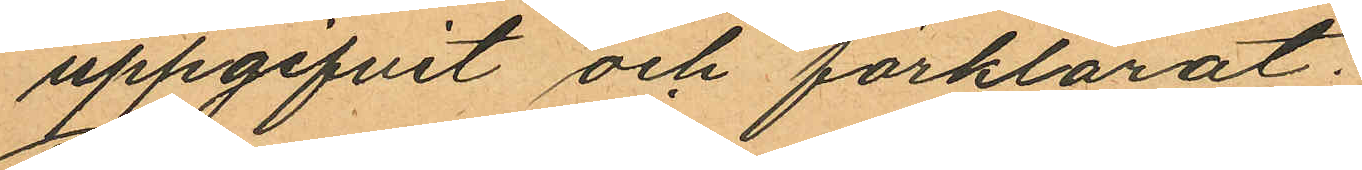uppgifvit och förklarat:
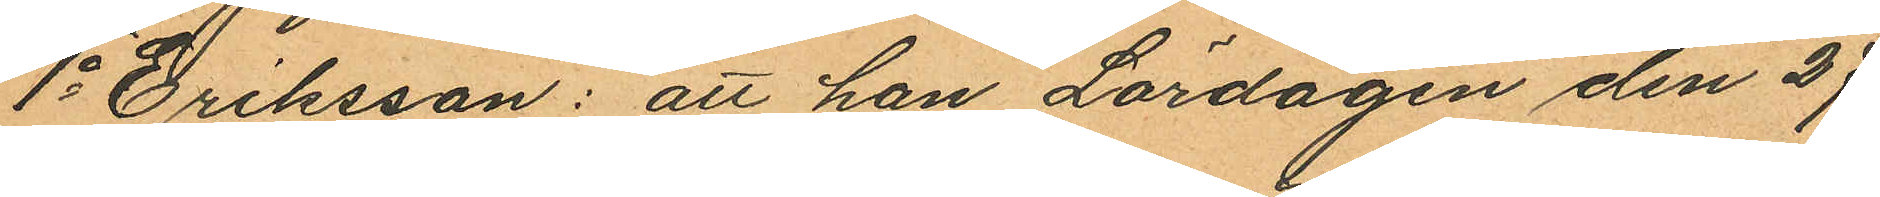1o Eriksson: att han Lördagen den 27
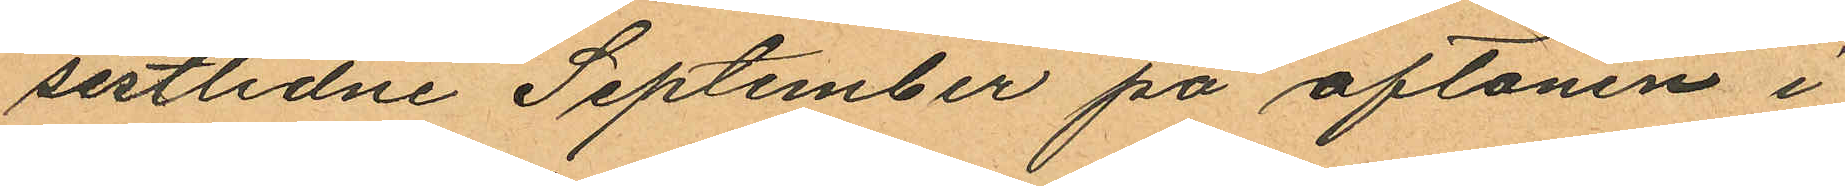sistlidne September på aftonen i
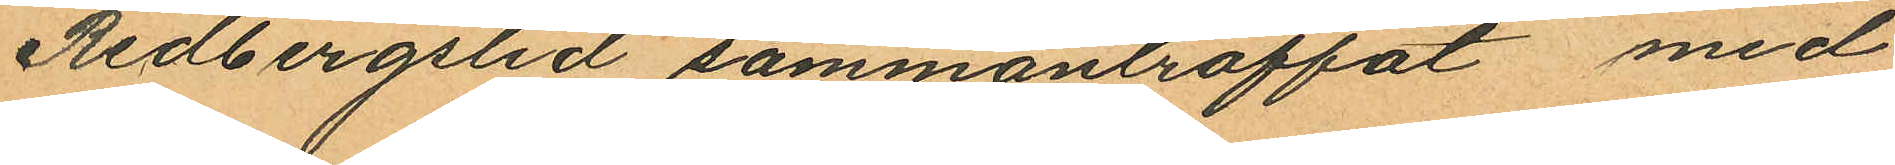Redbergslid sammanträffat med
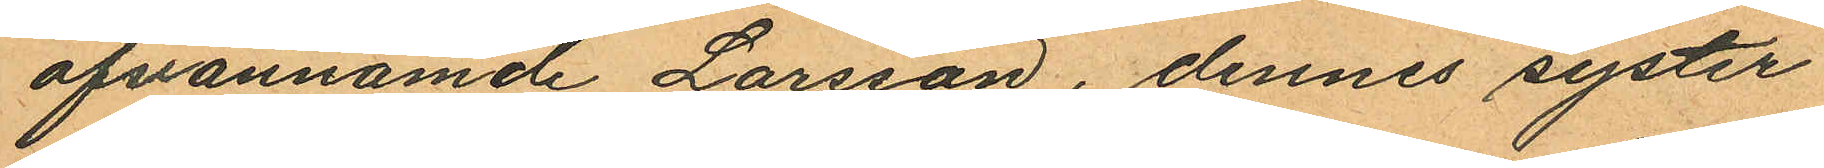ofvannämde Larsson, dennes syster
